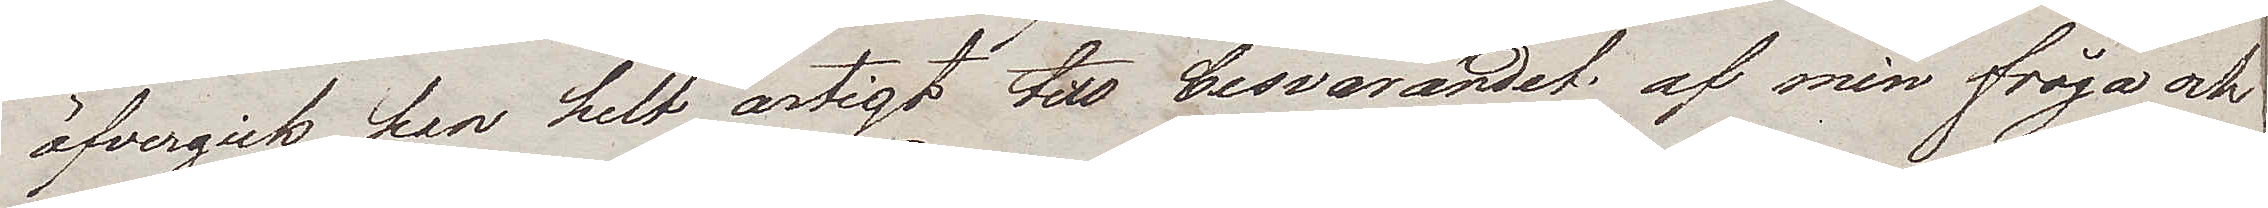öfvergick han helt artigt till besvarandet af min fråga och
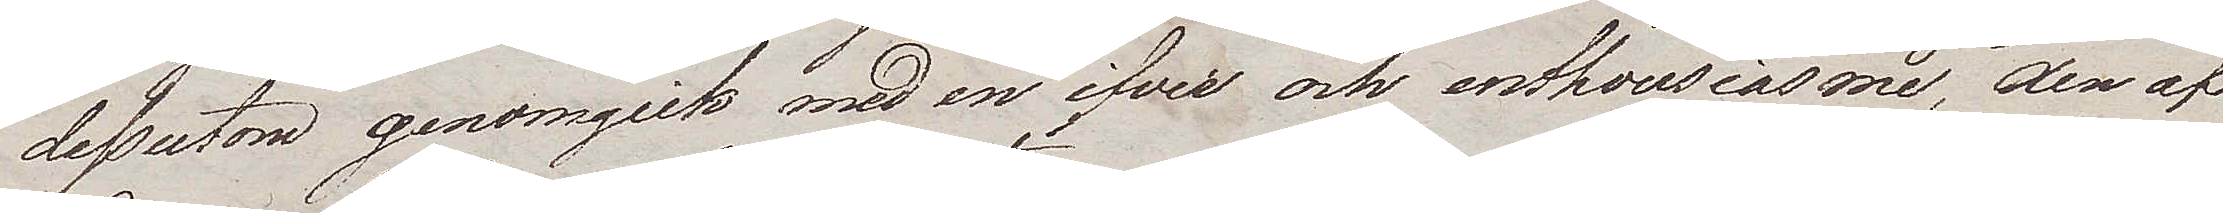dessutom genomgick med en ifver och enthousiasme, den af¬
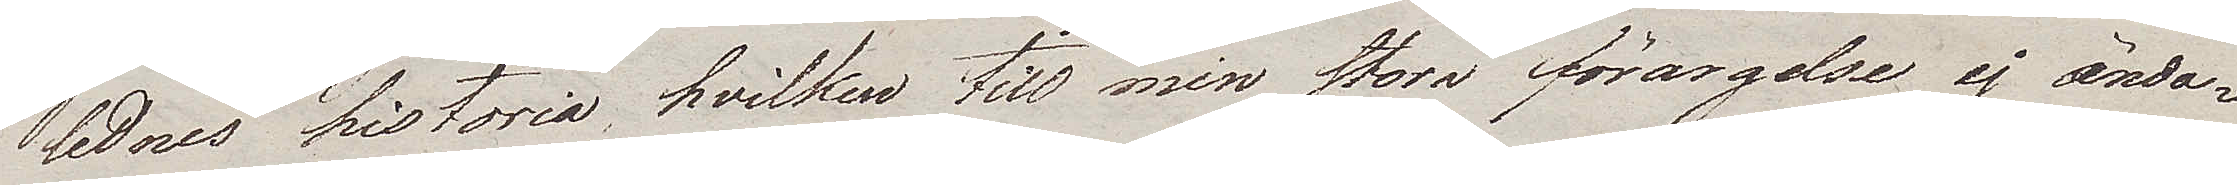lidnes historia, hvilken till min stora förargelse ej ända¬
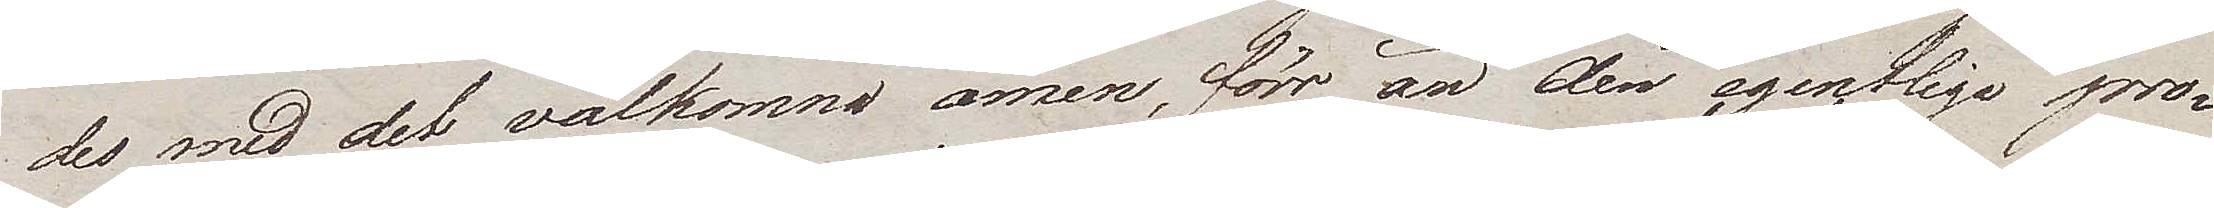des med det välkomna amen, förr än den egentliga pro¬
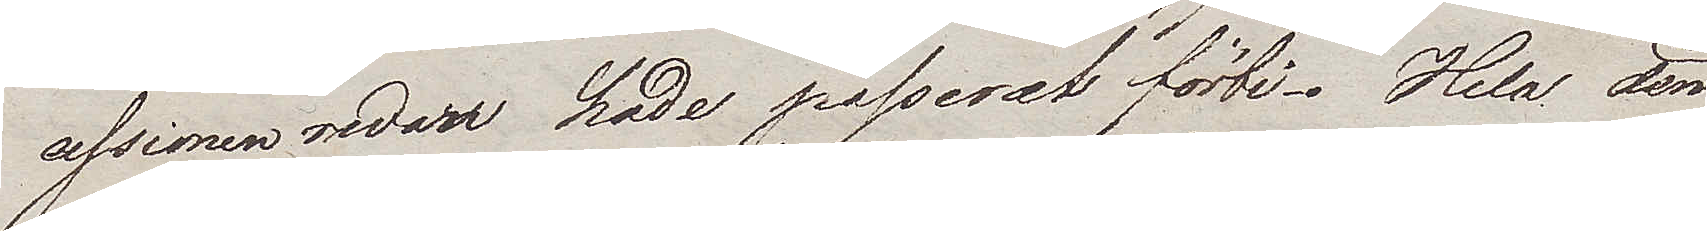cessionen redan hade passerat förbi. Hela den
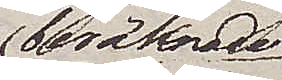beräknade
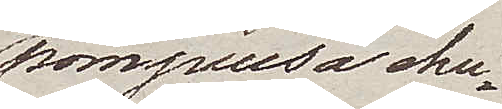pompeusa ehu¬
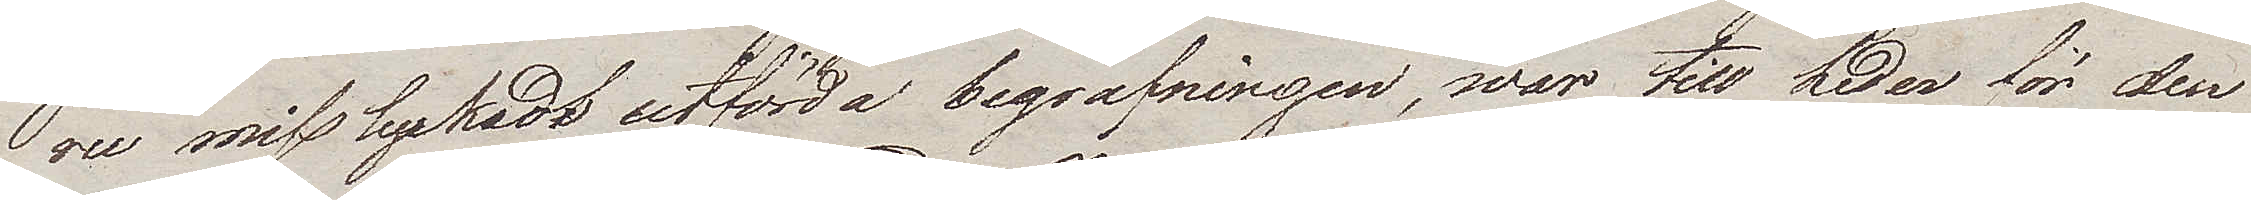ru misslyckadt utförda begrafningen, war till heder för den
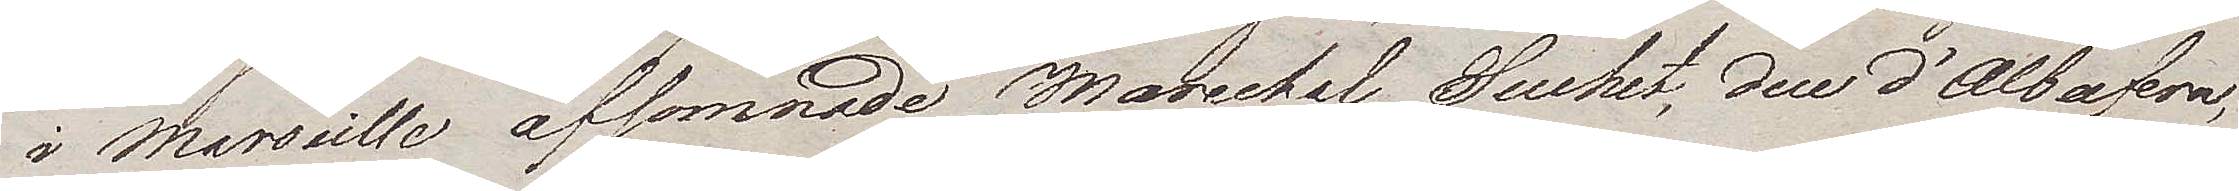i Marseille afsomnade Marechal Suchet, duc d'Albufera,
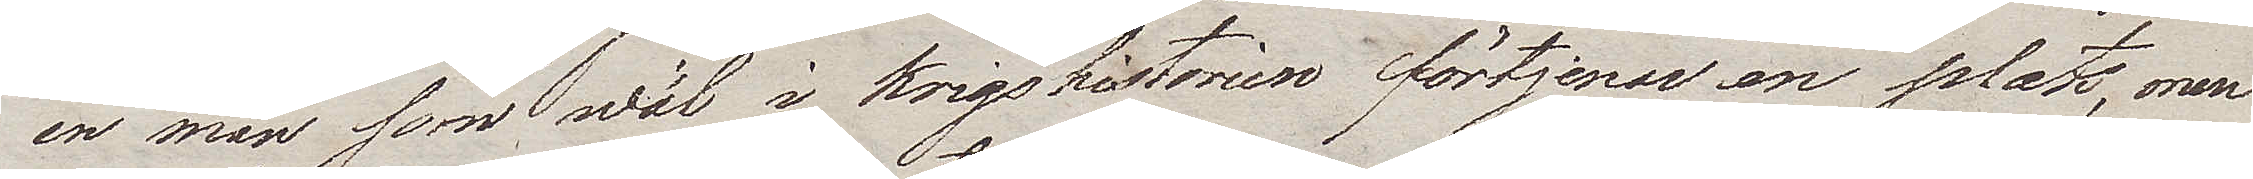en man som wäl i Krigshistorien förtjenar en plats, men
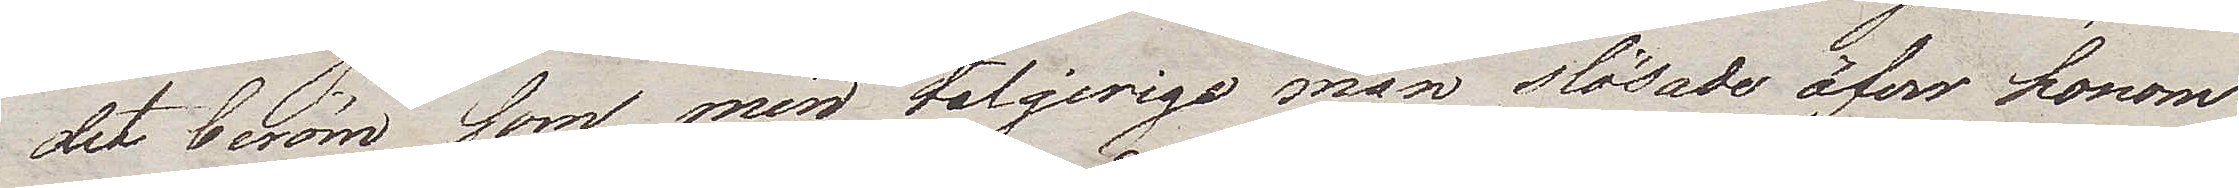det beröm som min talgirige man slösade öfver honom
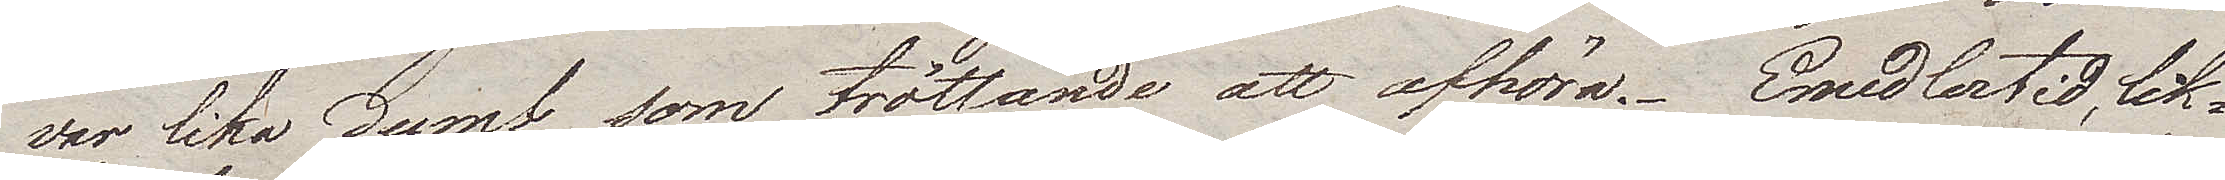var lika dumt som tröttande att afhöra. Emedlertid, lik¬
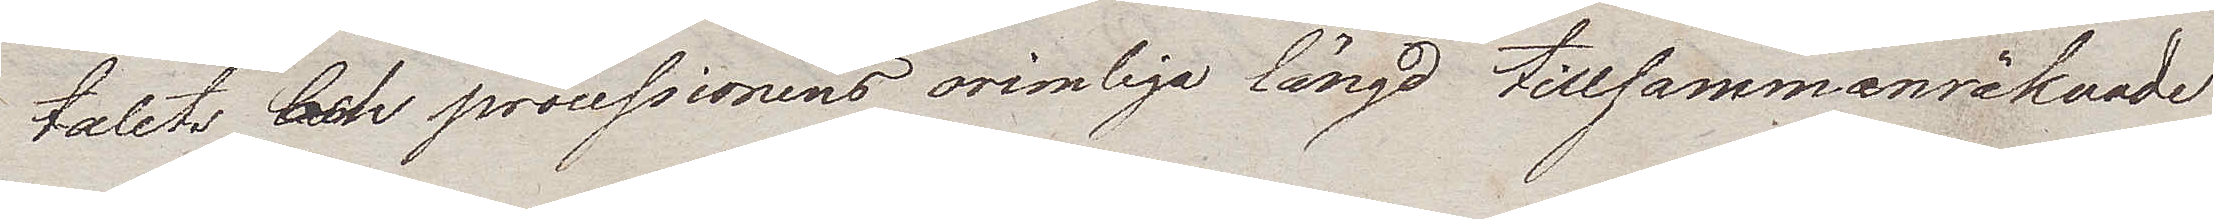talets och processionens orimliga längd tillsammanräknade
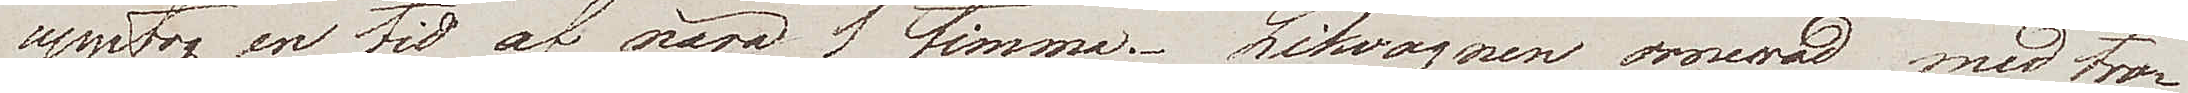upptog en tid af nära 1 timma. Likvagnen ornerad med tro¬
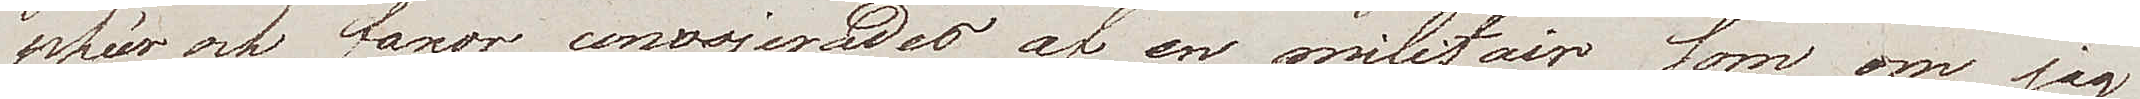phéer och fanor convojerades af en militair som om jag 
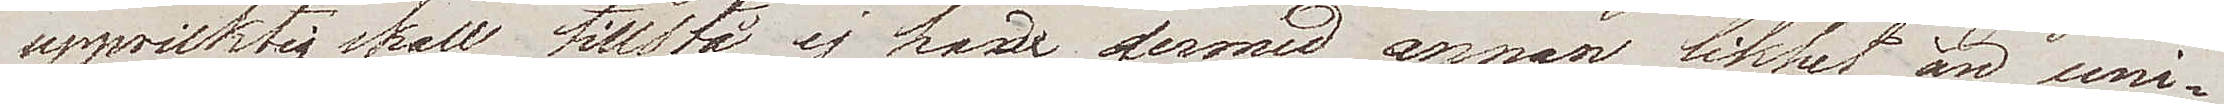uppriktig skall tillstå, ej hade dermed annan likhet än uni¬
